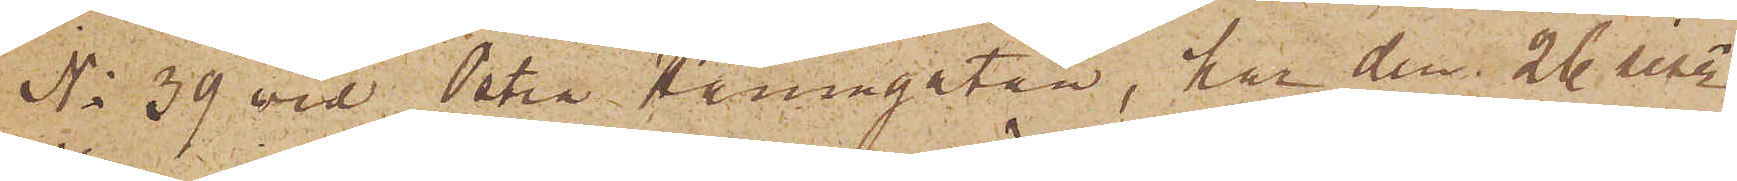No 39 vid Östra Hamngatan, har den 26 sist.
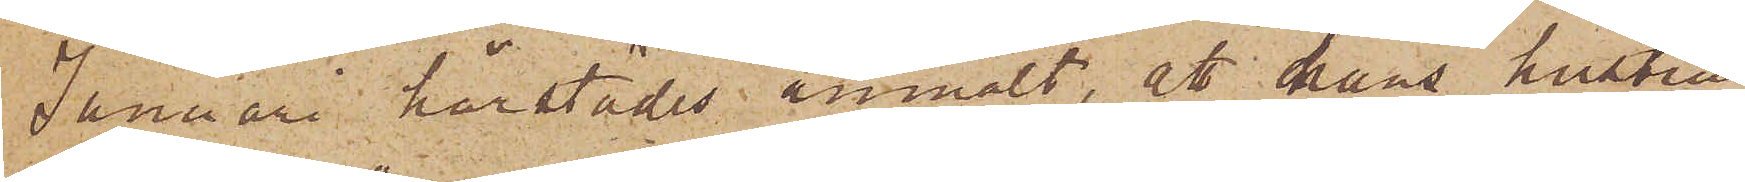Januari härstädes anmält, att hans hustru
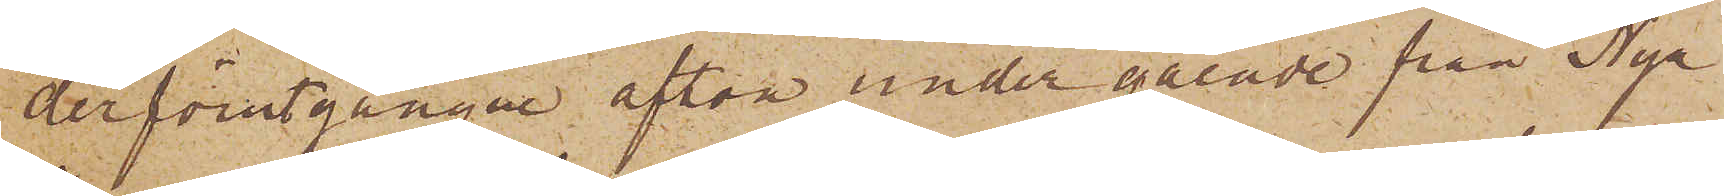derförutgångne afton under gående från Nya
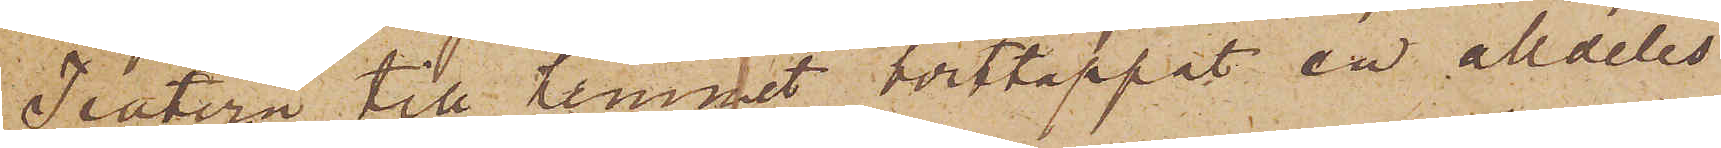Teatern till hemmet borttappat en alldeles
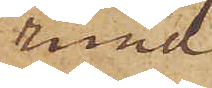rund
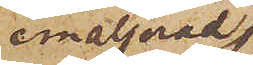emaljerad
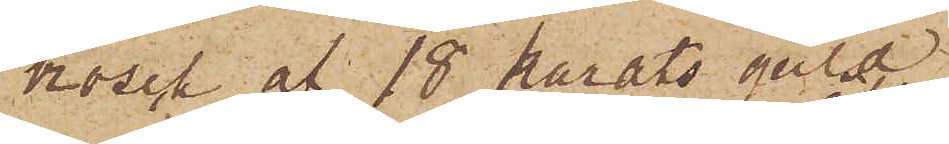brosch af 18 karats guld
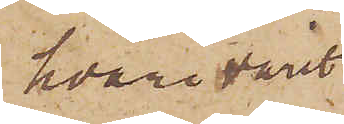hvari varit
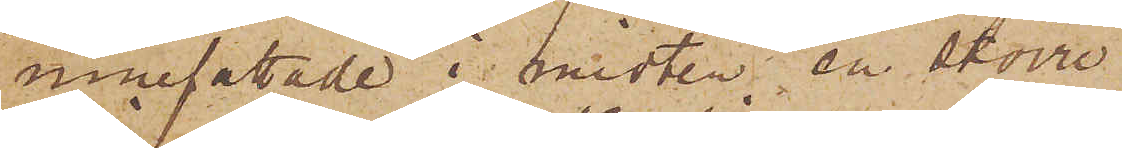innefattade i midten en större
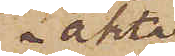äkta
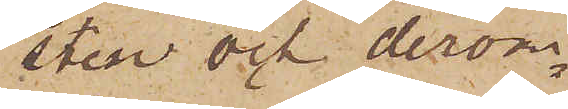sten och derom¬
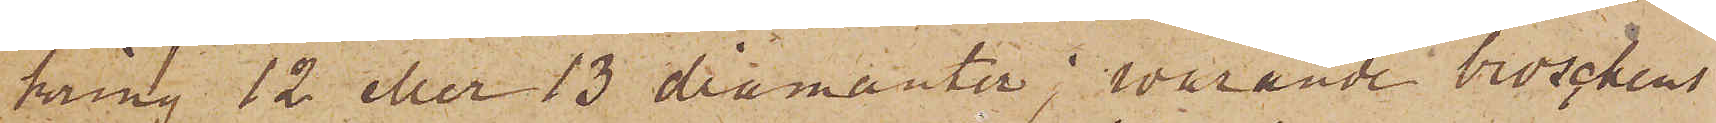kring 12 eller 13 diamanter; varande broschens
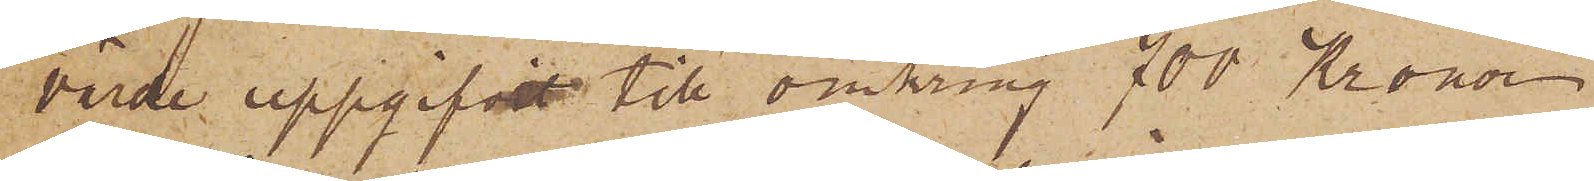värde uppgifvit till omkring 700 Kronor.
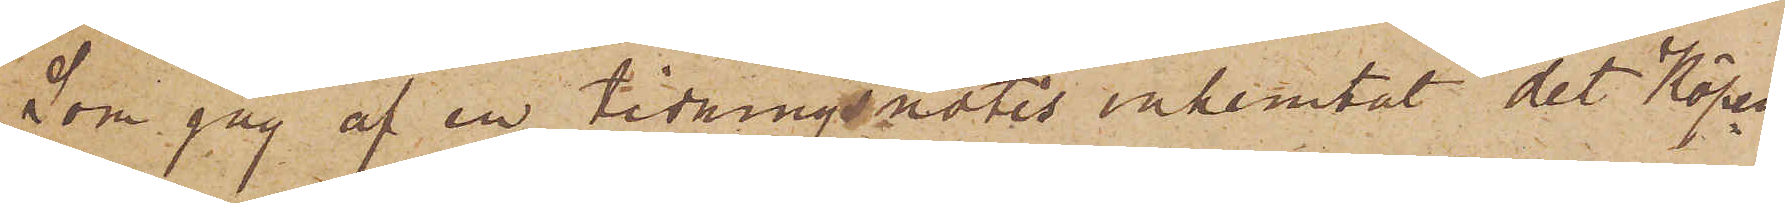Som jag af en tidningsnotis inhemtat det Köpen¬
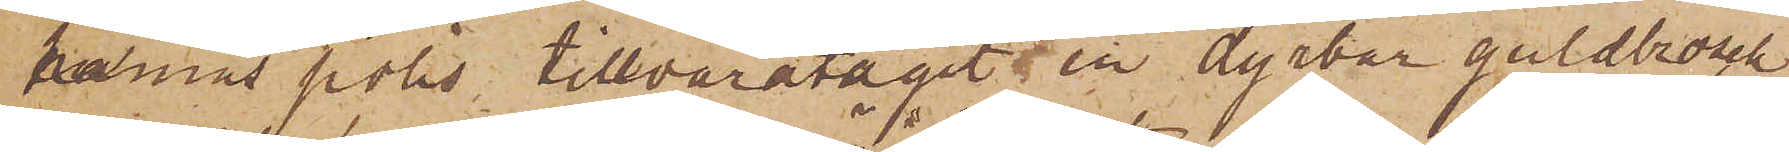hamns polis tillvaratagit en dyrbar guldbrosch
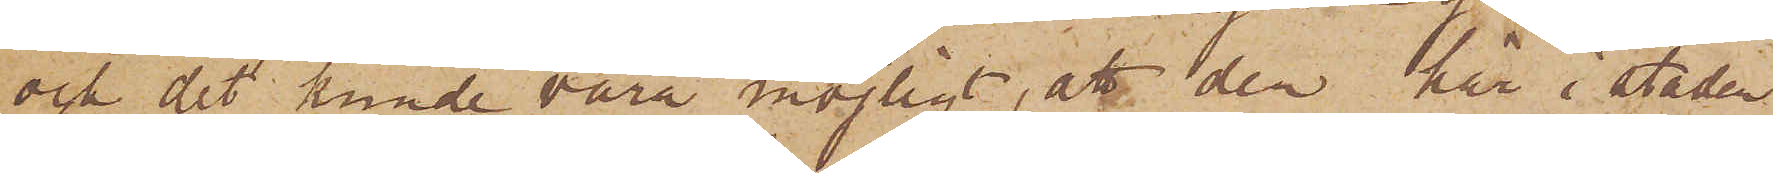och det kunde vara möjligt, att den här i staden
